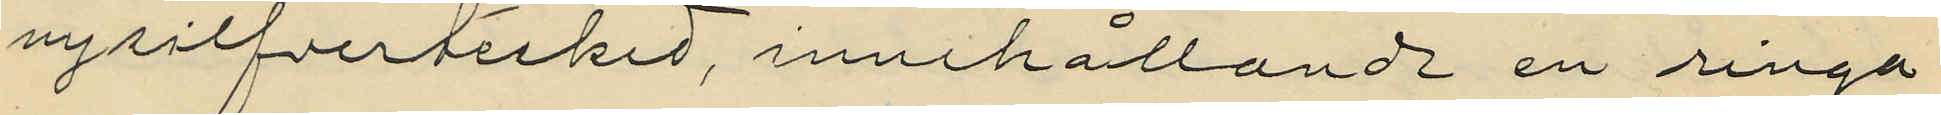nysilfvertesked, innehållande en ringa
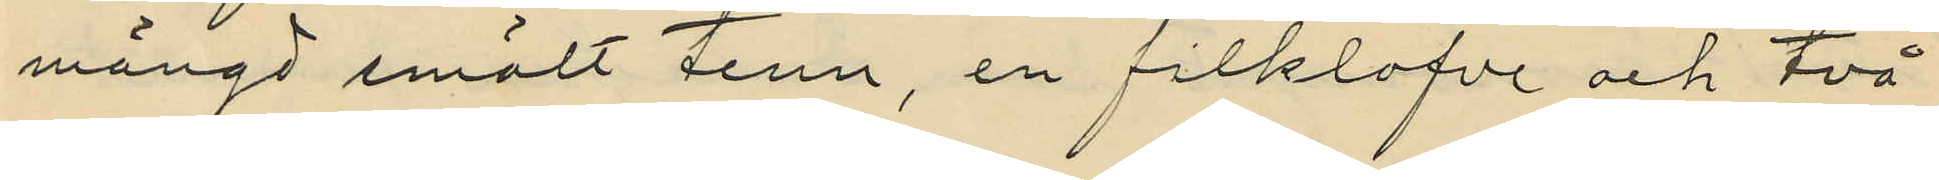mängd smält tenn, en filklofve och två
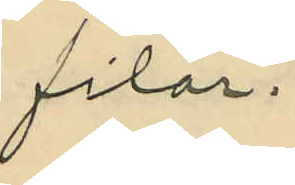filar.
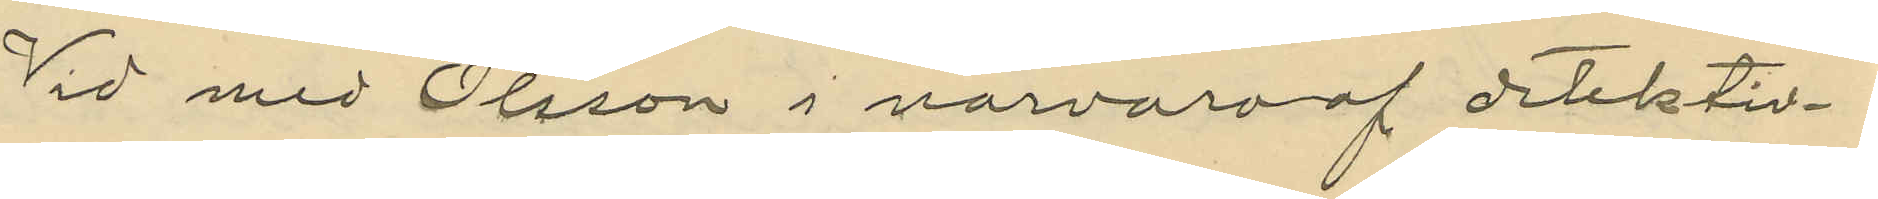Vid med Olsson i närvaro af detektiv¬
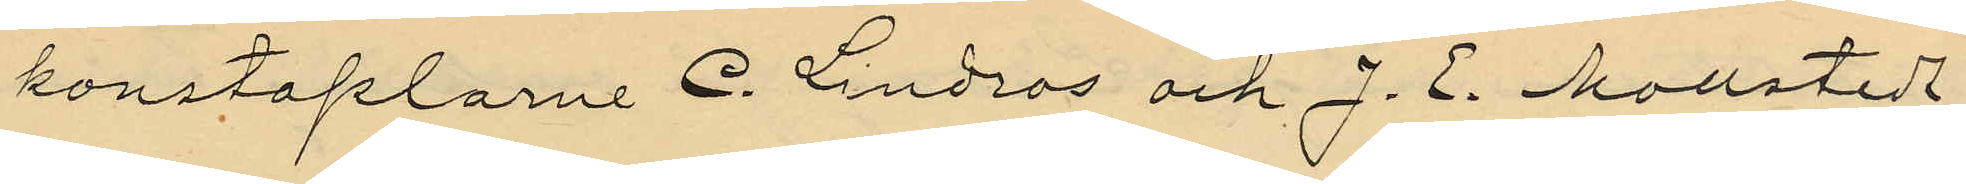konstaplarne C. Lindros och J. E. Mollstedt
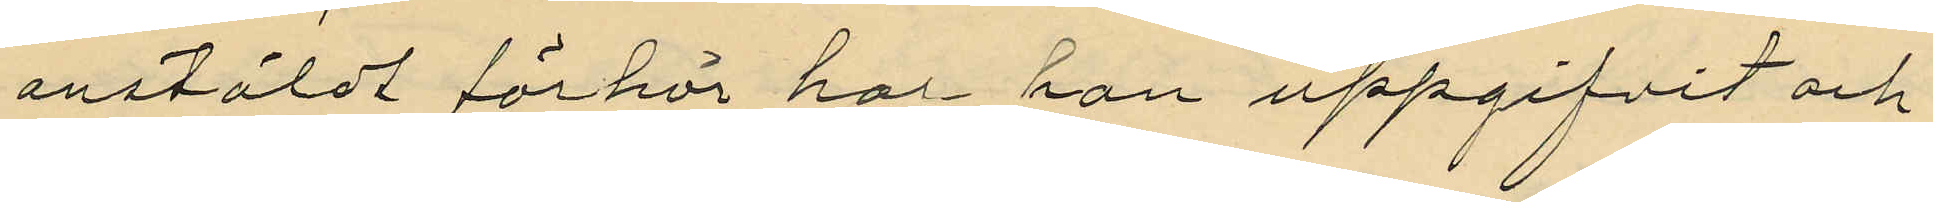anstäldt förhör har han uppgifvit och
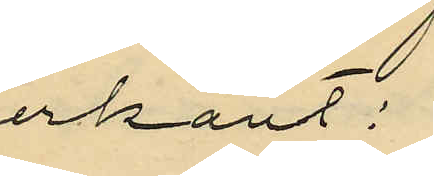erkänt:
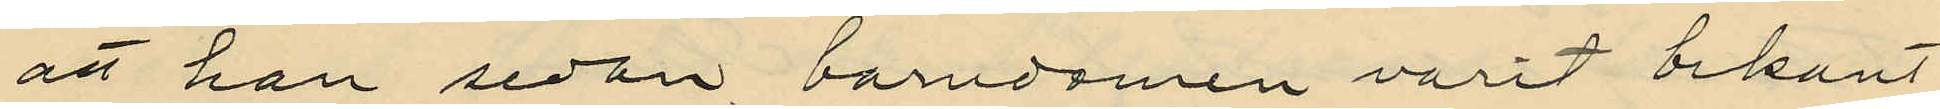att han sedan barndomen varit bekant
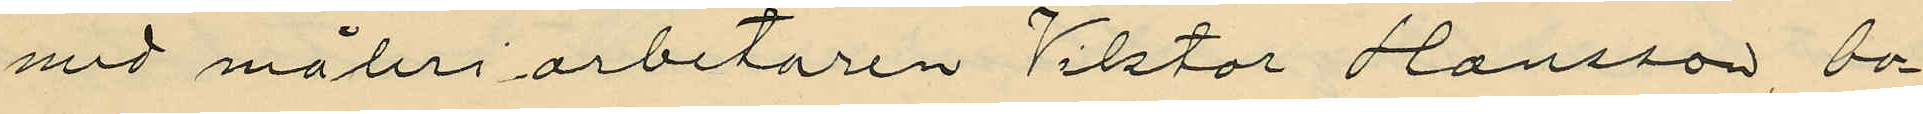med måleriarbetaren Viktor Hansson, bo¬
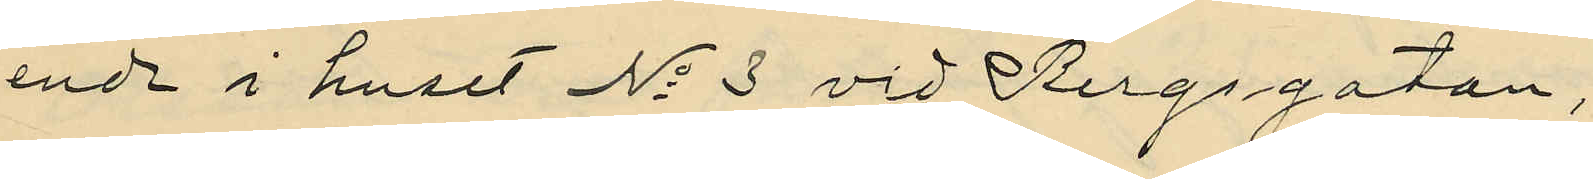ende i huset No 3 vid Bergsgatan,
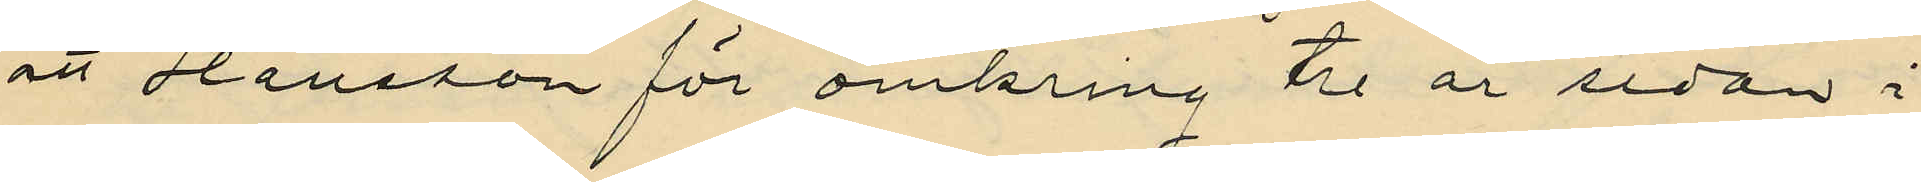att Hansson för omkring tre år sedan i
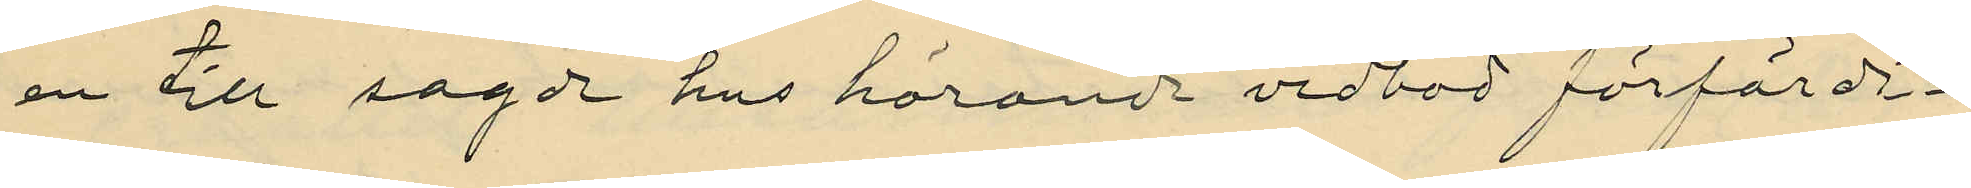en till sagde hus hörande vedbod förfärdi¬
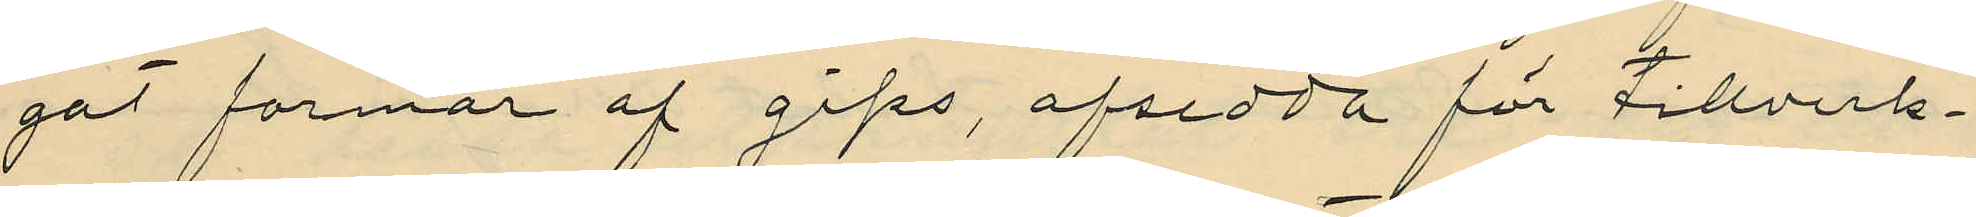gat formar af gips, afsedda för tillverk¬
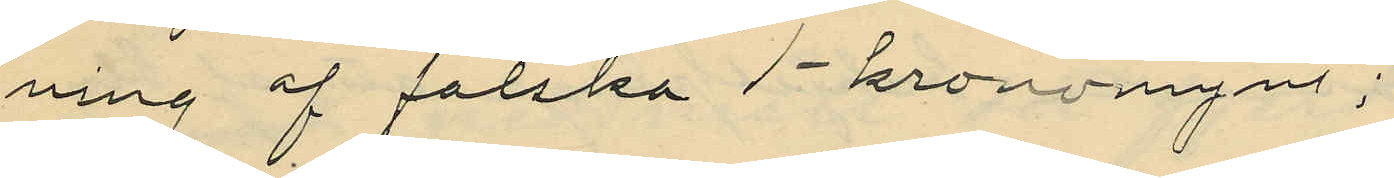ning af falska 1-kronomynt;
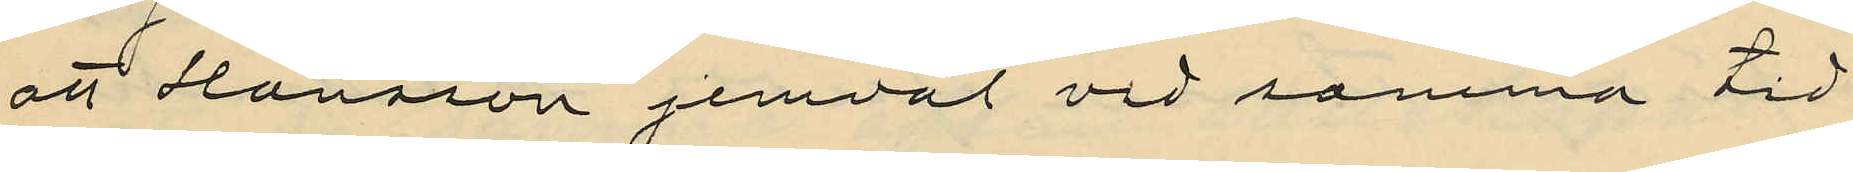att Hansson jemväl vid samma tid
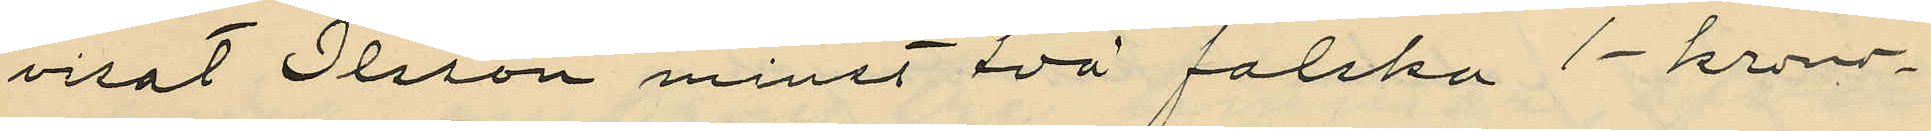visat Olsson minst två falska 1-krono¬
